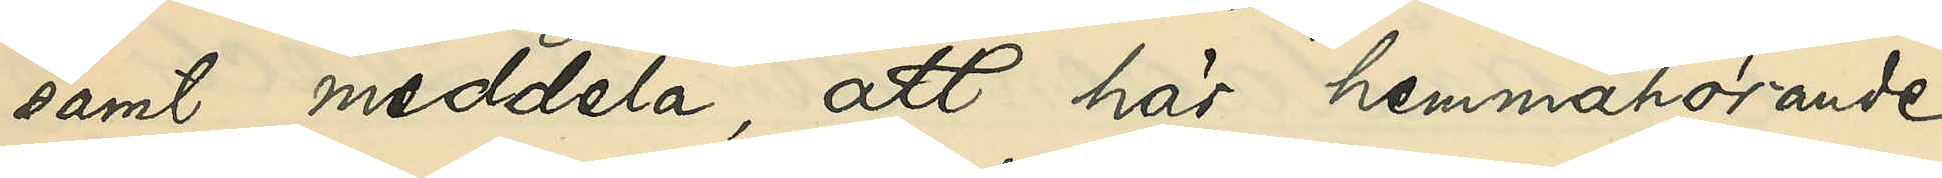samt meddela, att här hemmahörande
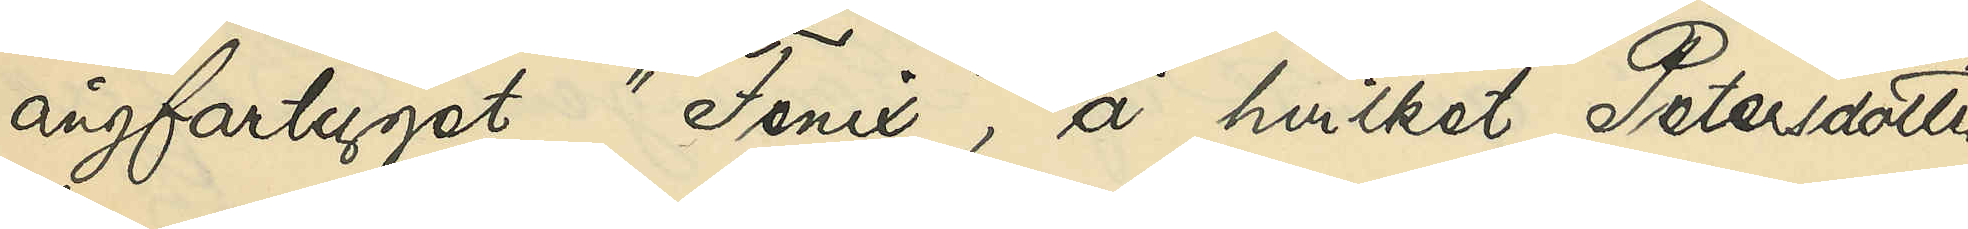ångfartyget "Fenix", å hvilket Petersdotter
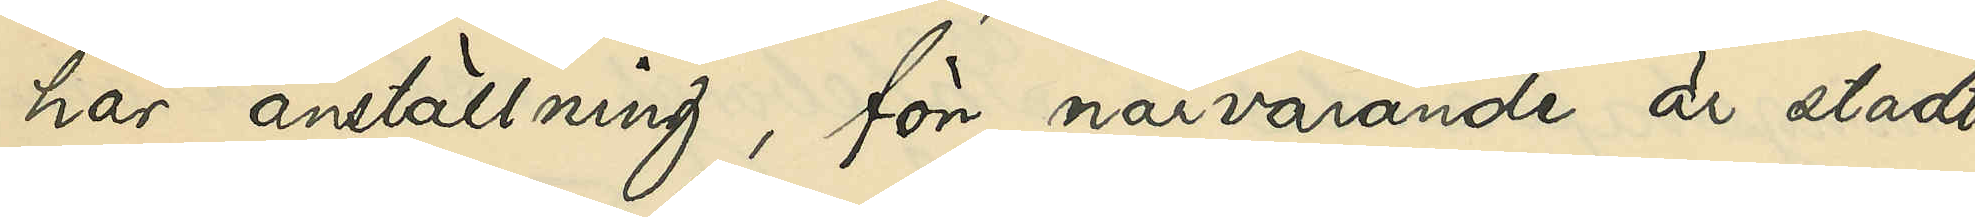har anställning, för närvarande är stadt
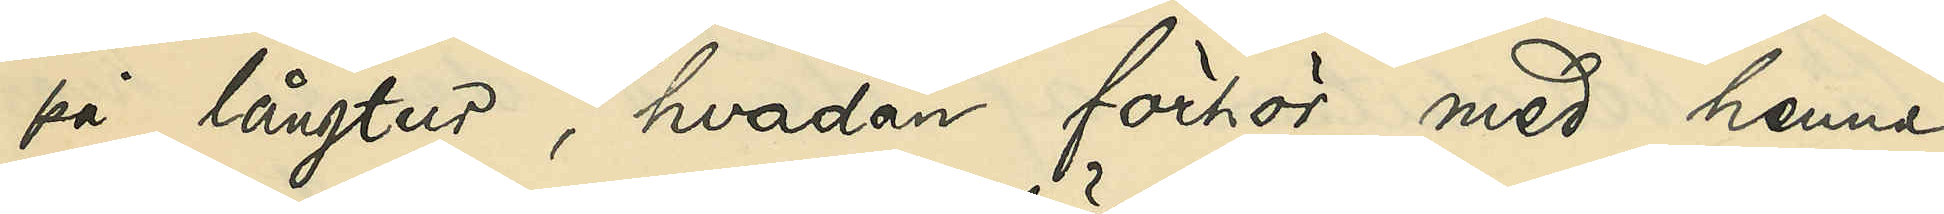på långtur, hvadan förhör med henne
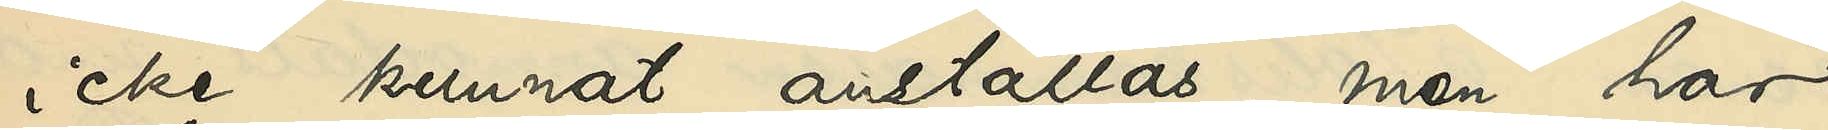icke kunnat anställas, men har
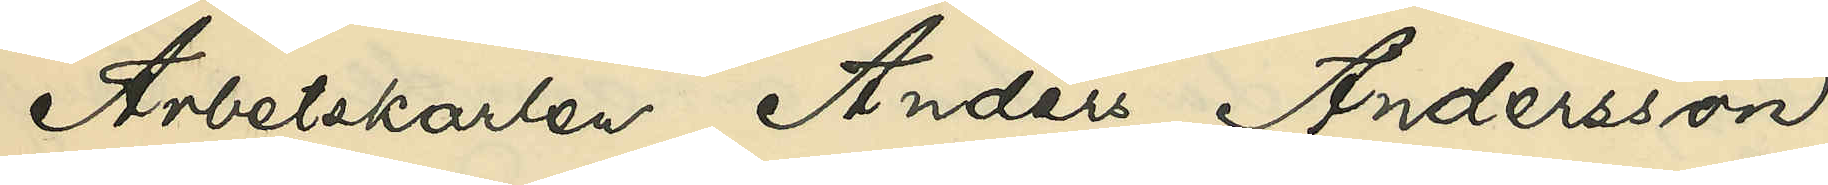Arbetskarlen Anders Andersson,
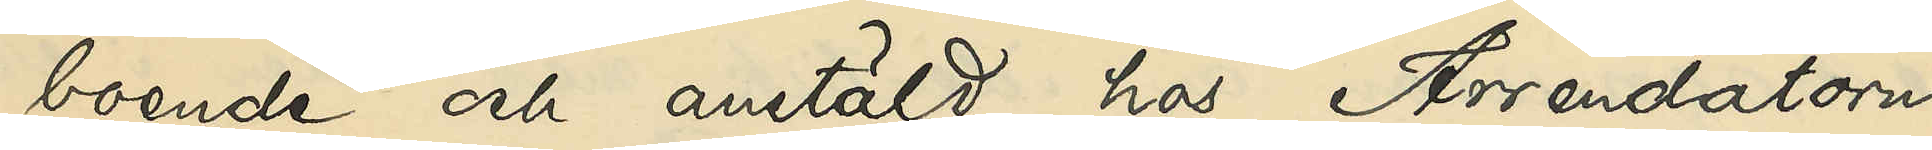boende och anstäld hos Arrendatorn
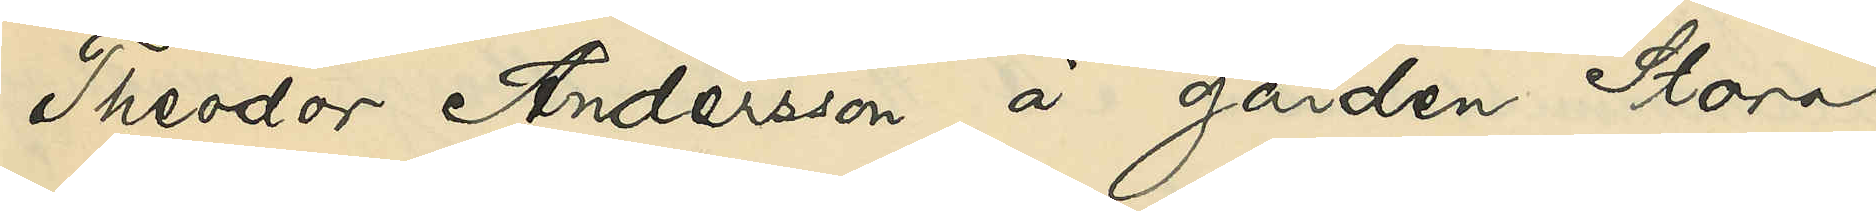Theodor Andersson å gården Stora
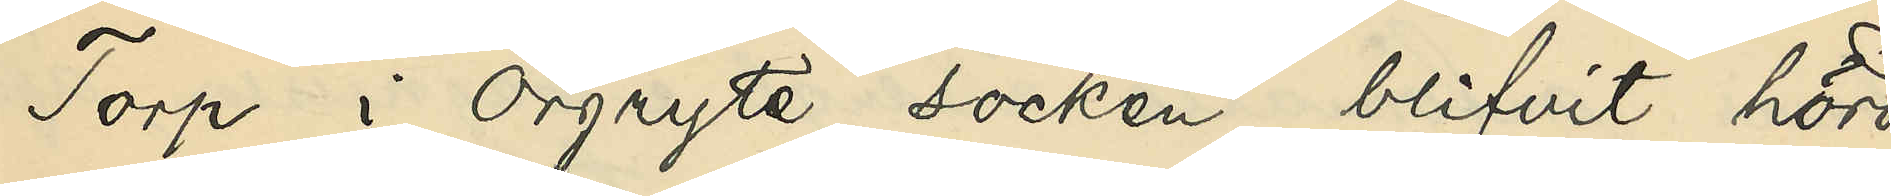Torp i Örgryte socken blifvit hörd,
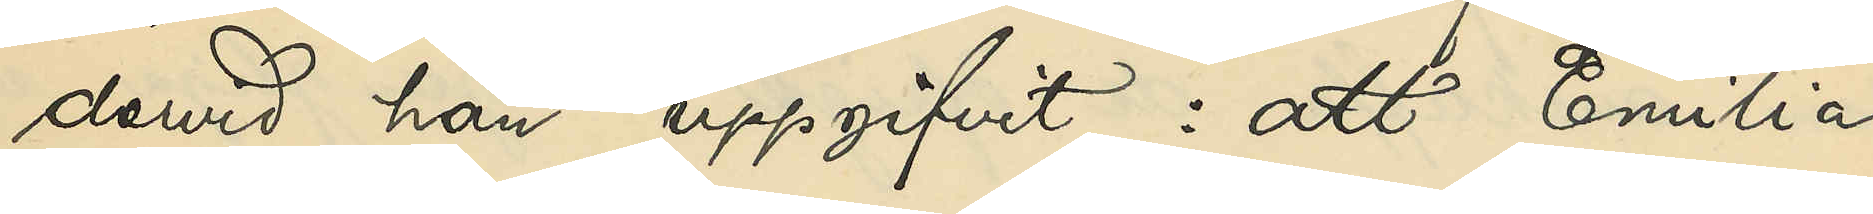dervid han uppgifvit: att Emilia
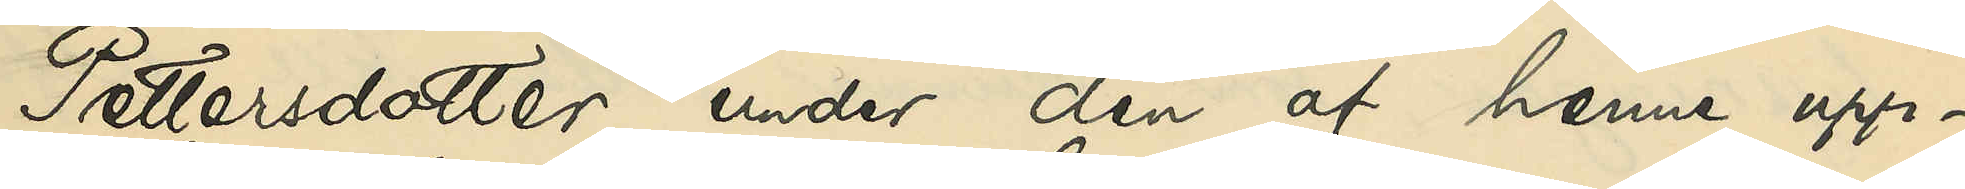Petersdotter under den af henne upp¬
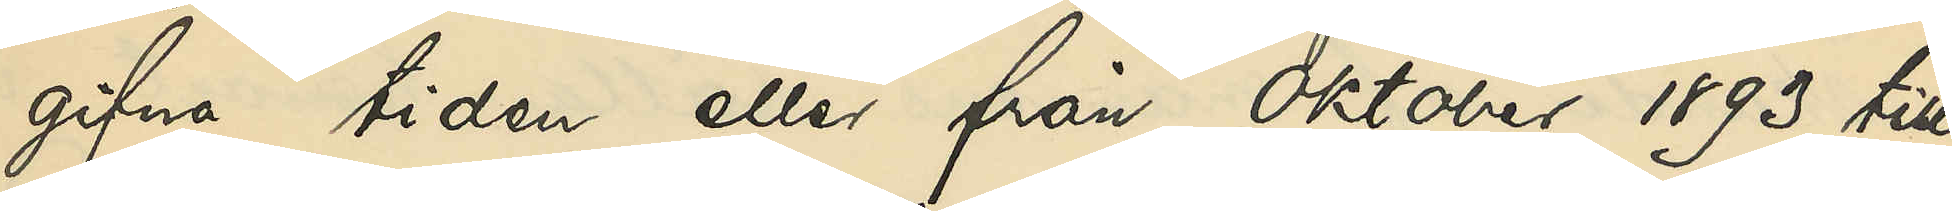gifna tiden eller från Oktober 1893 till
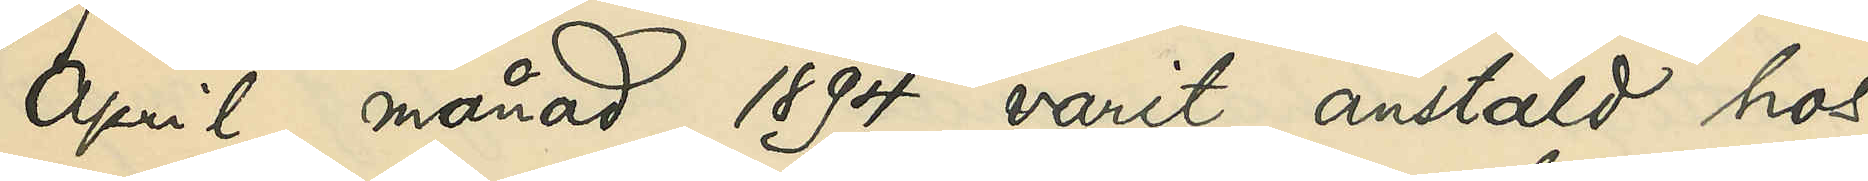April månad 1894 varit anstäld hos
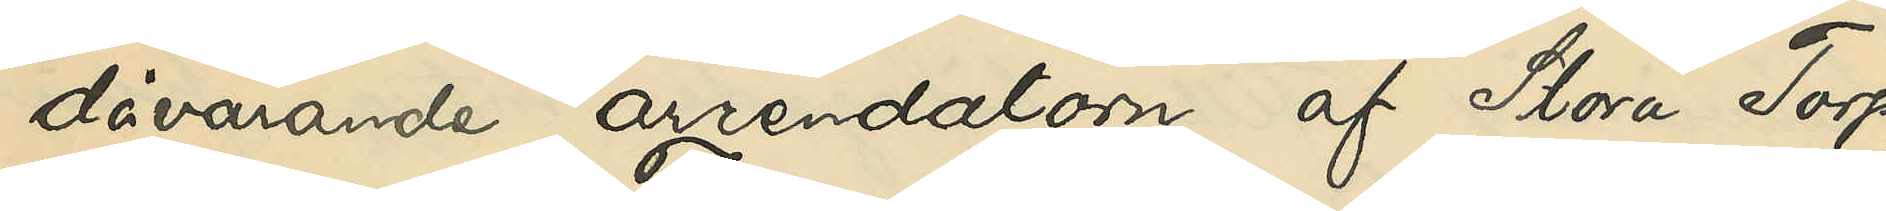dåvarande arrendatorn af Stora Torp,
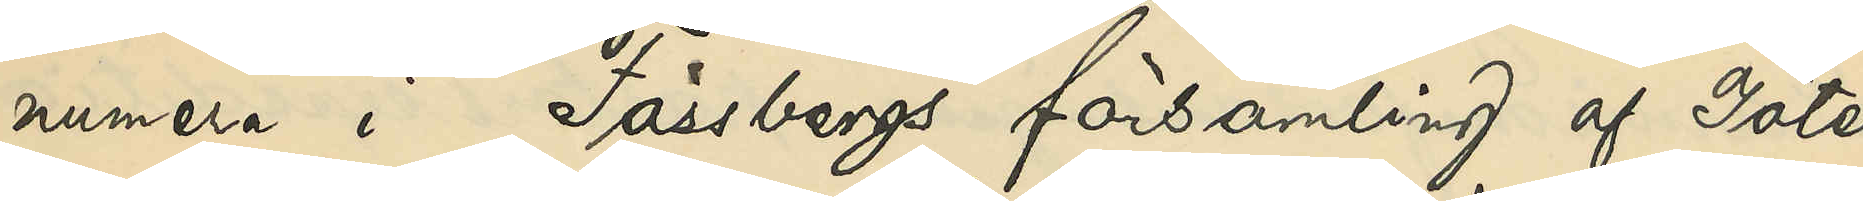numera i Fässbergs församling af Göte¬
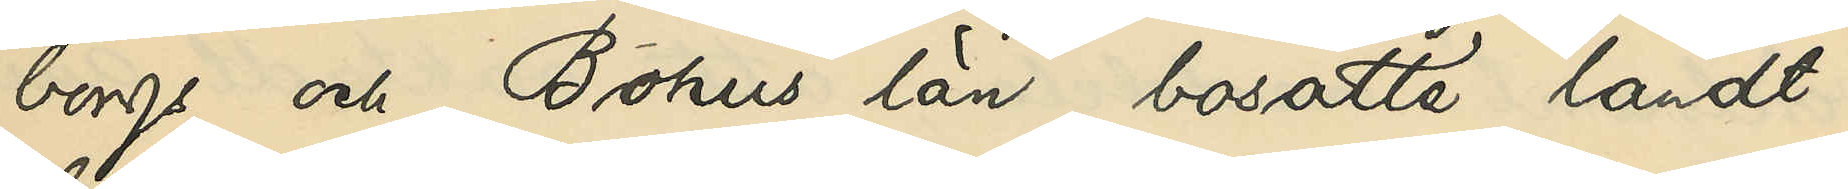borgs och Bohus län bosatte landt¬
